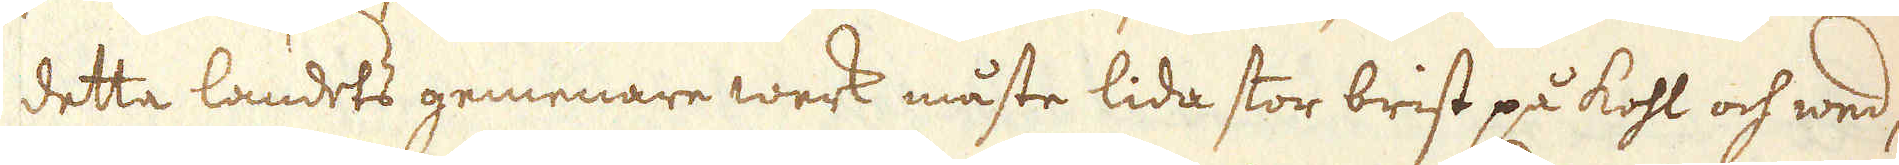detta landets gemenare werk måste lida stor brist på kohl och wed,
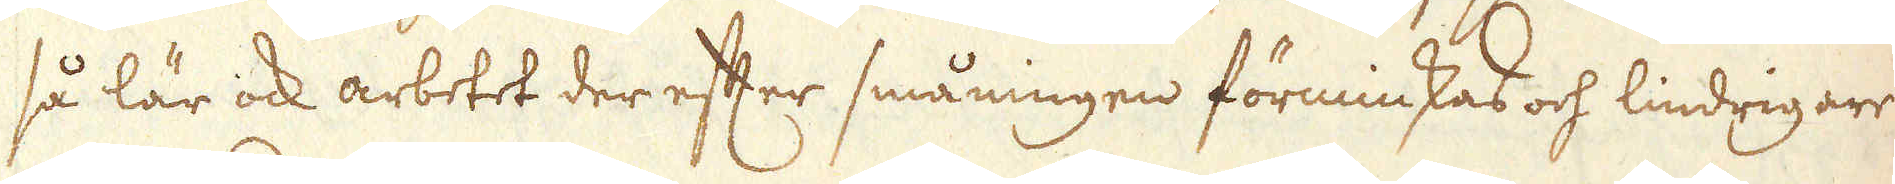så lär ock arbetet der efter småningen förminskas och lindrigare
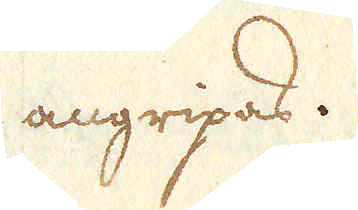angripas.
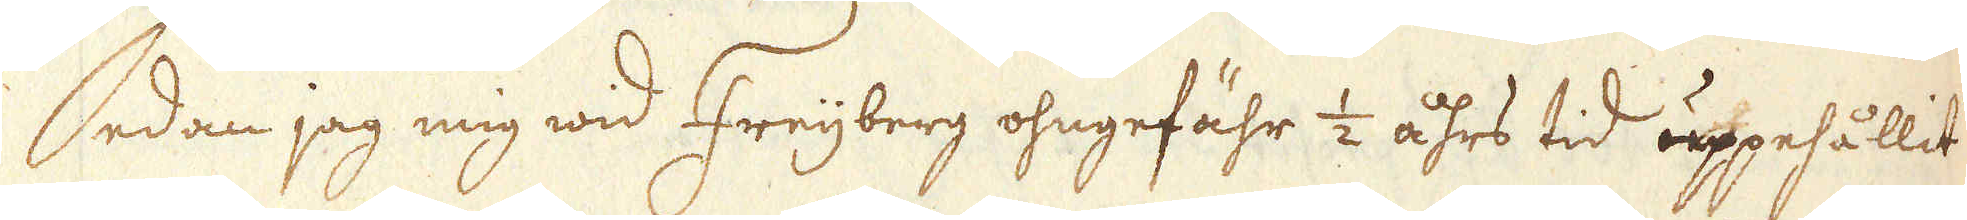Sedan jag mig wid Freijberg ohngefähr 1/2 åhrs tid uppehållit
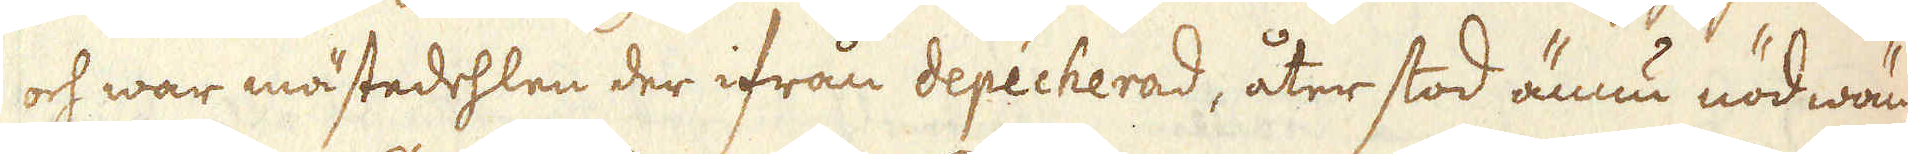och war mästedehlen der ifrån depécherad, åter stod ännu nödwän-
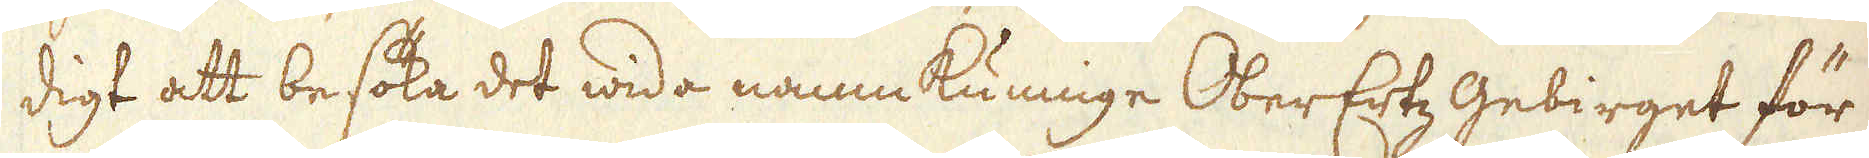digt att besöka det wida namnkunnige OberErtz Gebirget för
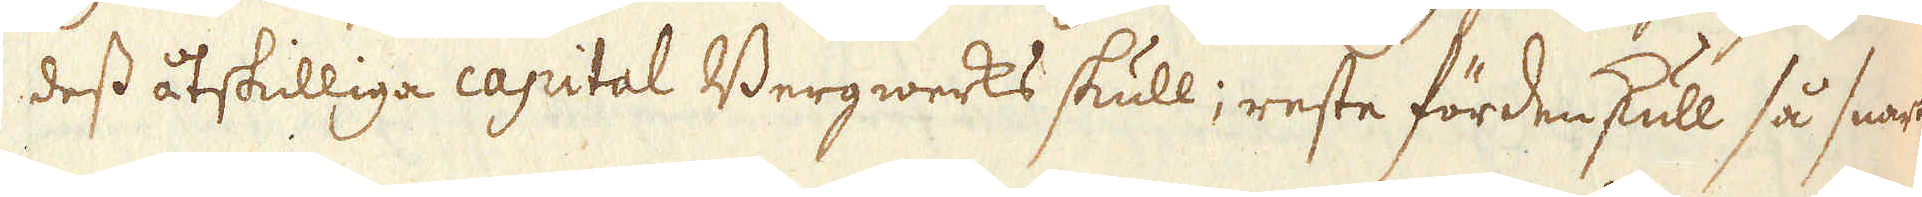dess åtskilliga capital Bergwerks skull; reste fördenskull så snart
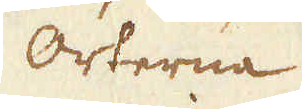orterna
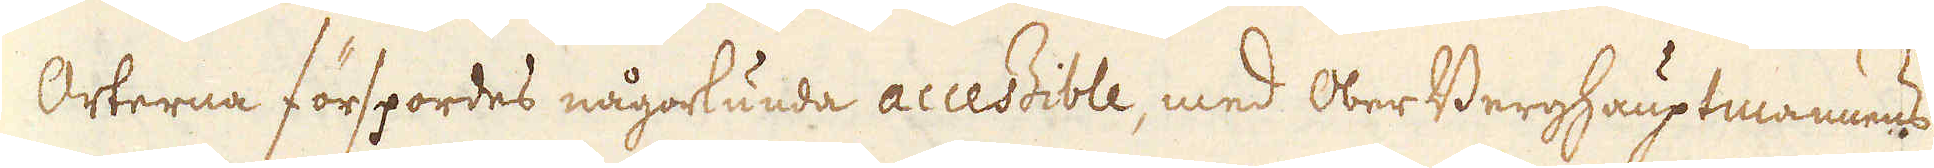orterna förspordes någorkunda accessible, med Ober Berghauptmannens
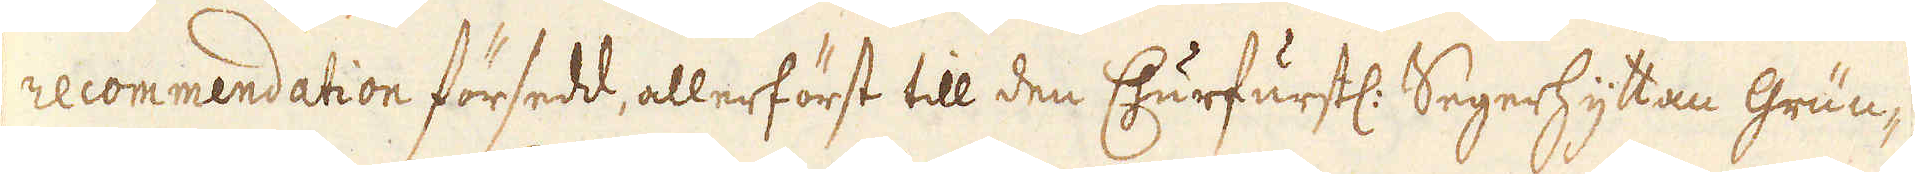recommendation försedd, allerförst till den Churfurstl: Segerhyttan Grün-
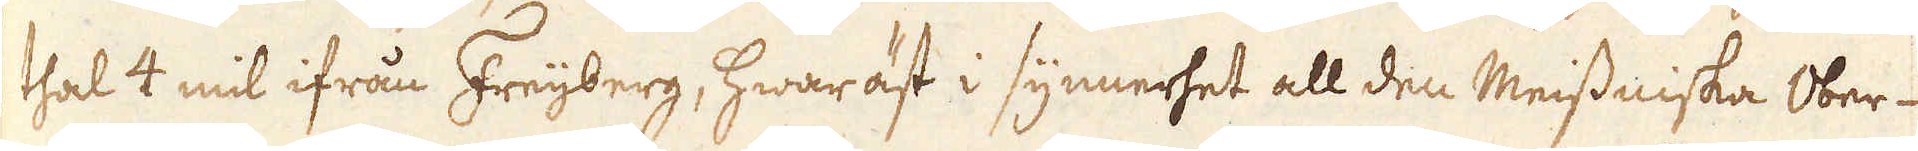thal 4 mil ifrån Freijberg, hwaräst i synnerhet all den Meissniska Ober-
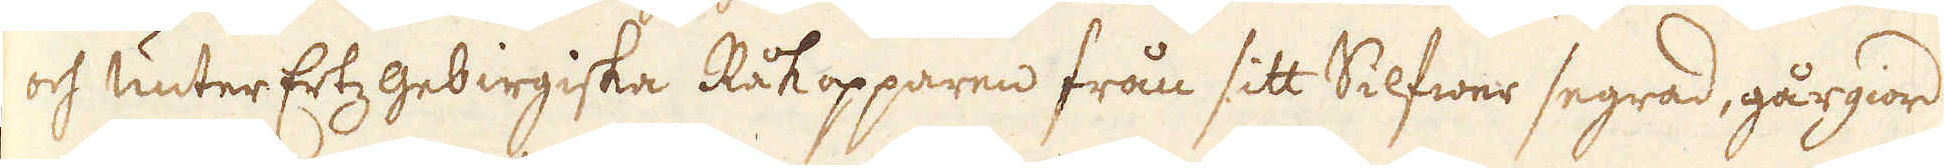och Unter Ertz gebirgiska Råkopparen från sitt Silfwer segrad, gårgiord
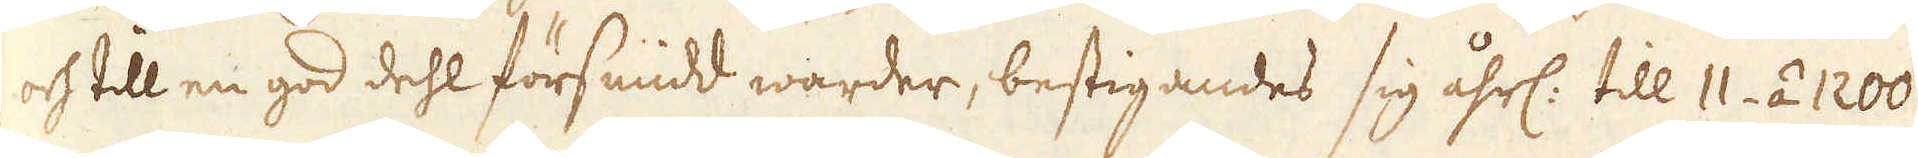och till en god dehl försmidd warder, bestigandes sig åhrl: till 11- á 1200
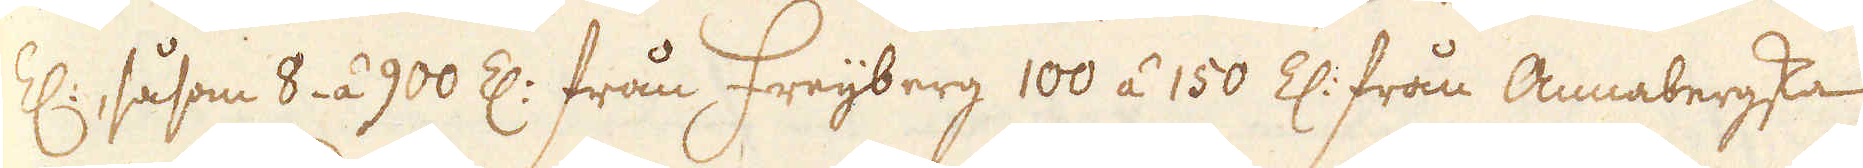Z:, såsom 8- á 900 Z: från Freijberg 100 á 150 Z: från Annabergska
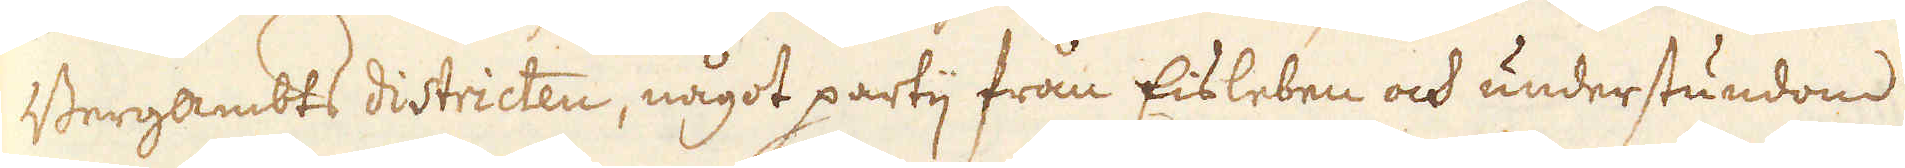Bergambts districten, något partij från Eisleben och understundom
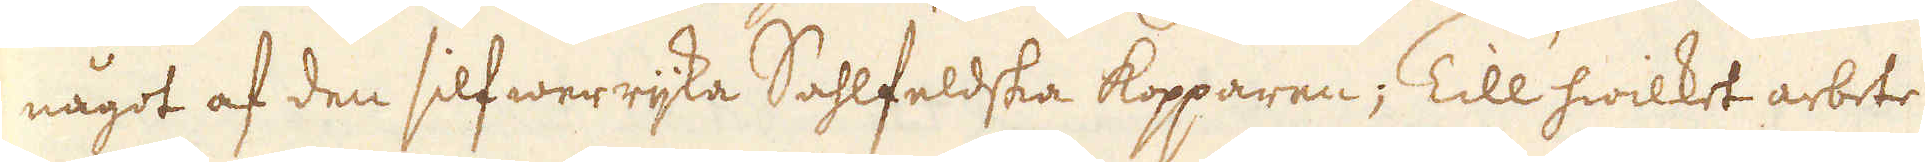något af den silfwerrijka Sahlfeldska kopparen; Till hwilket arbete
